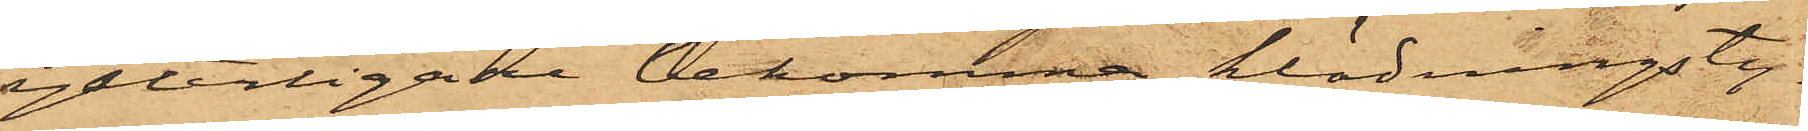ytterligare bekomma klädningsty¬
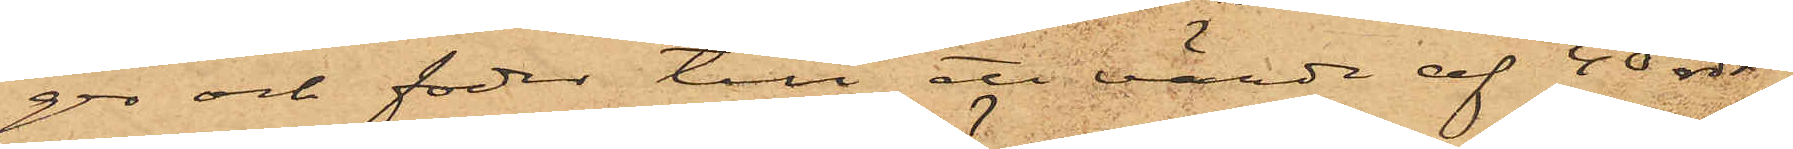ger och foder till ett värde af 40 rdr;
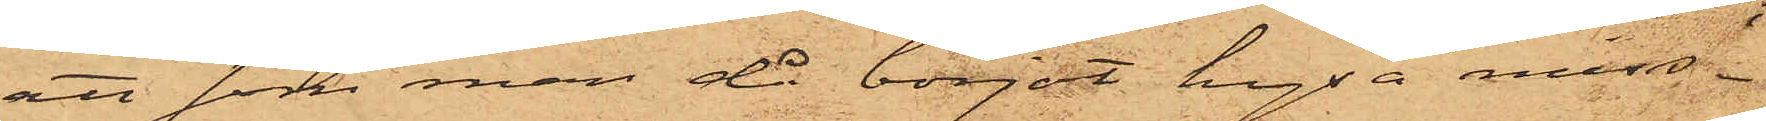att som man då börjat hysa miss¬
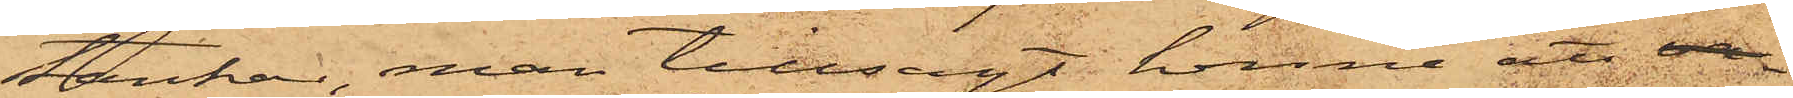sankar, man tillsagt henne att 
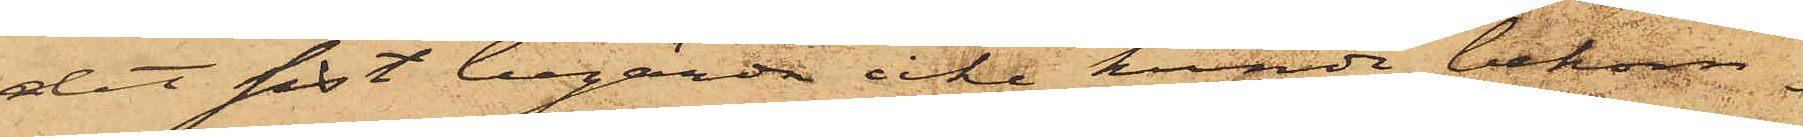det sist begärda icke kunde bekom¬
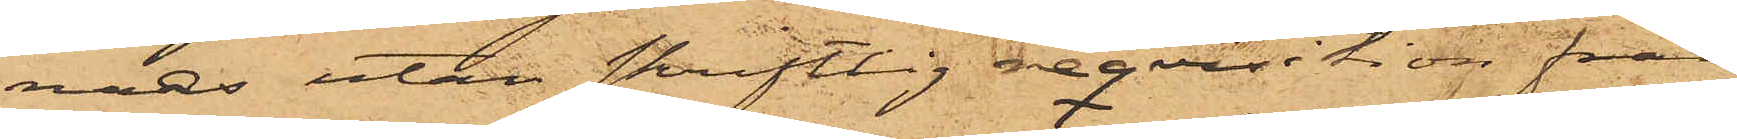mas utan skriftlig reqvisition från
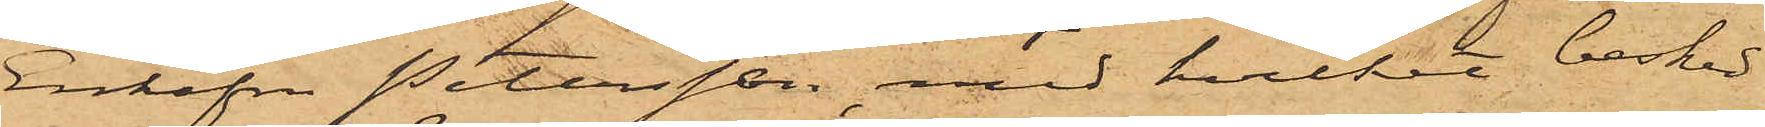Enkefru Petersson, med hvilket besöka¬
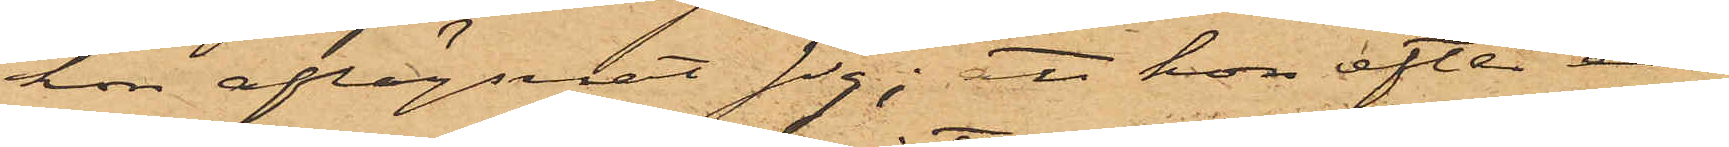ren aflägsnat sig; att hon efter en
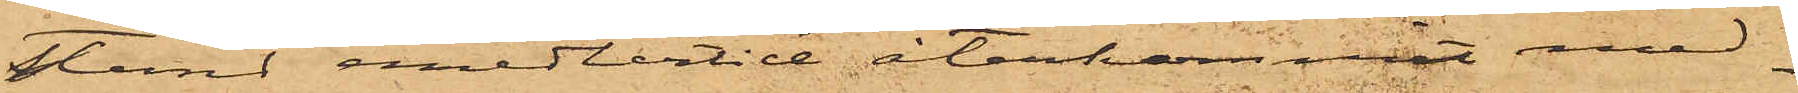stund emellertid återkommit med¬
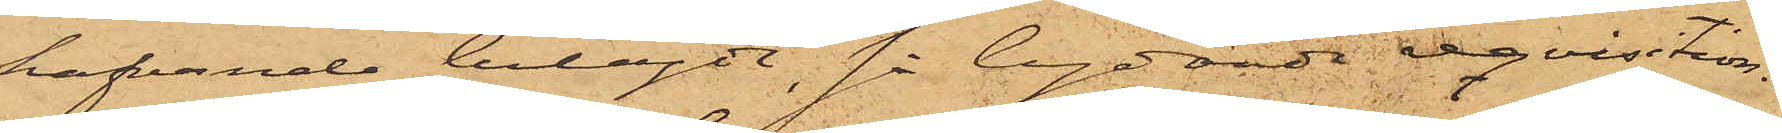hafvande bilagde, så lydande reqvisition;
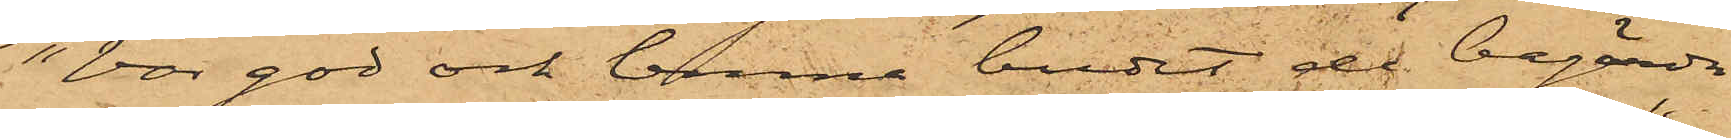"Var god och lemna budet de begärda
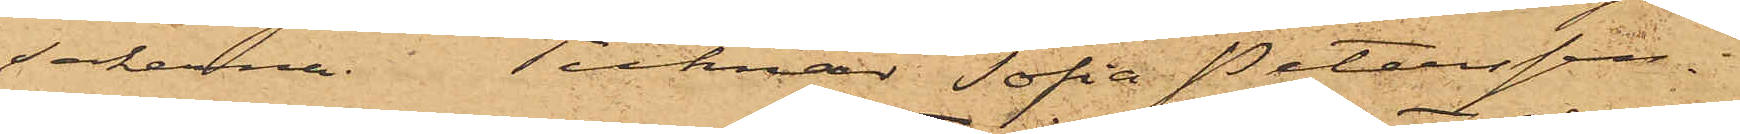sakerna. Tecknar Sofia Petersson";
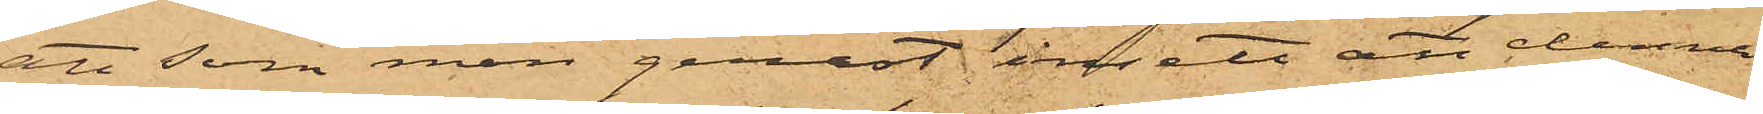att som man genast insett att denna
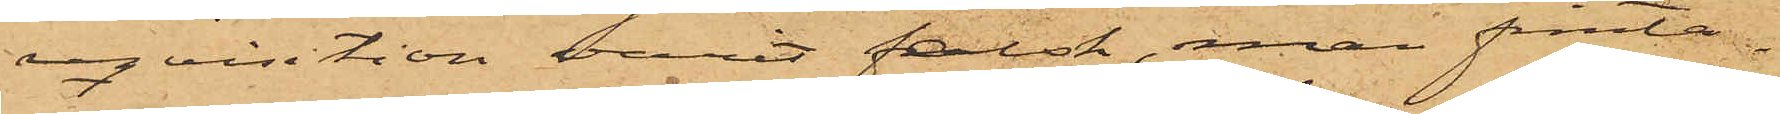reqvisition varit falsk, man frånta¬
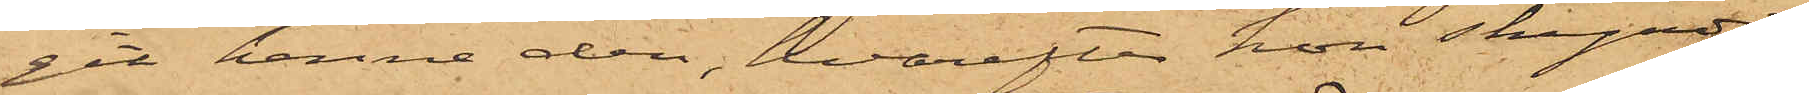git henne den, hvarefter hon skyndat
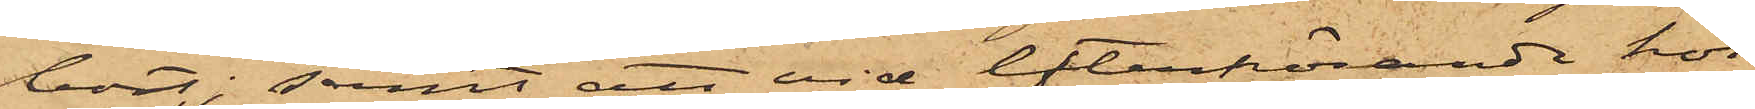bort; samt att vid efterhörande hos
